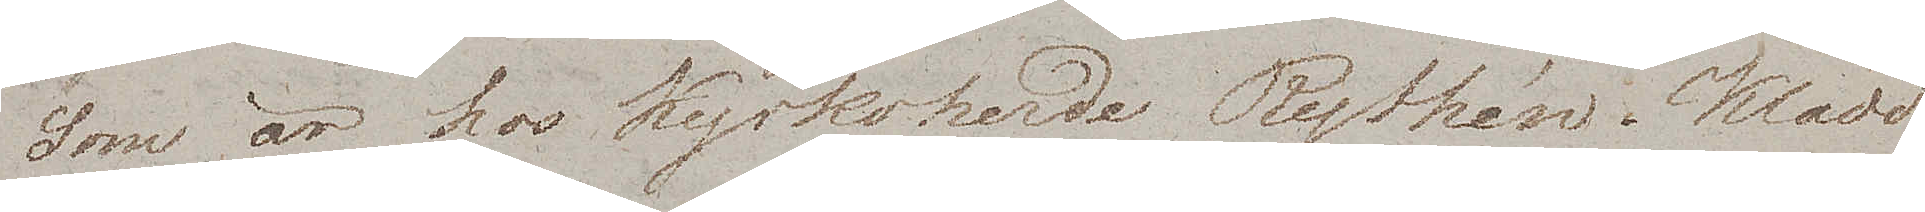som är hos Kyrkoherde Rythén. Klädd
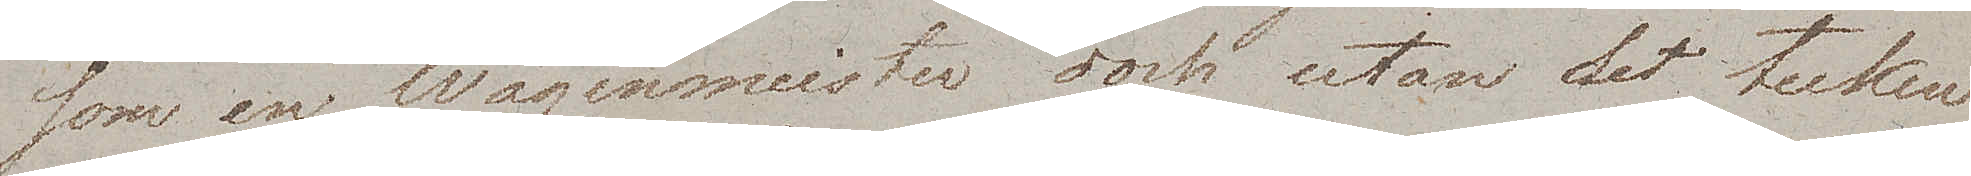som en Wagenmeister dock utan det tecken
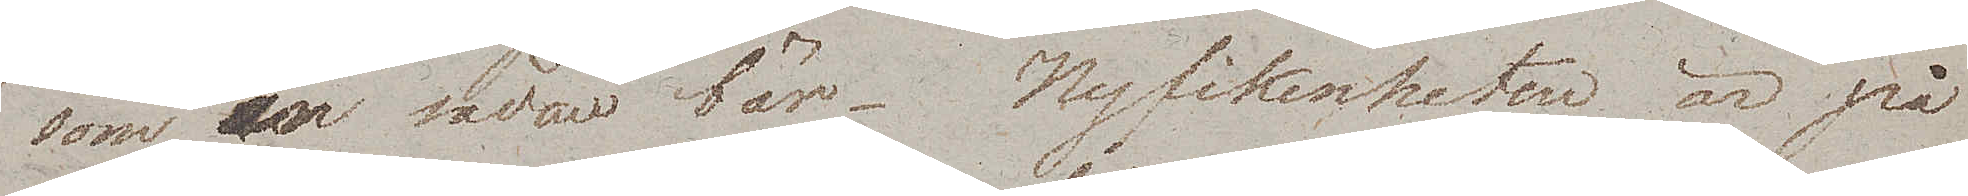som en sådan bär. Nyfikenheten är på
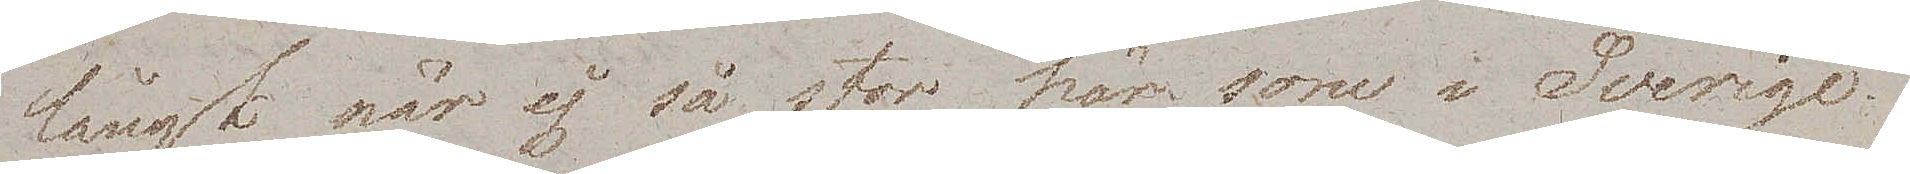långt när ej så stor här som i Sverige.
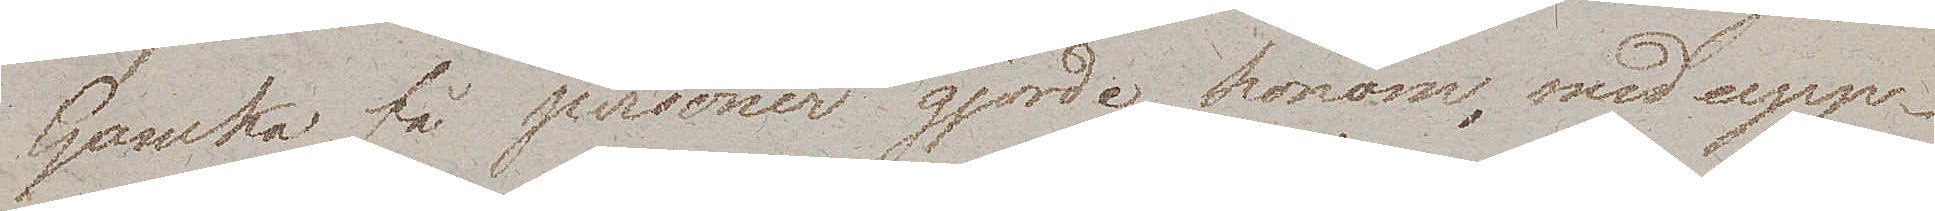Ganska få personer gjorde honom, med upp¬
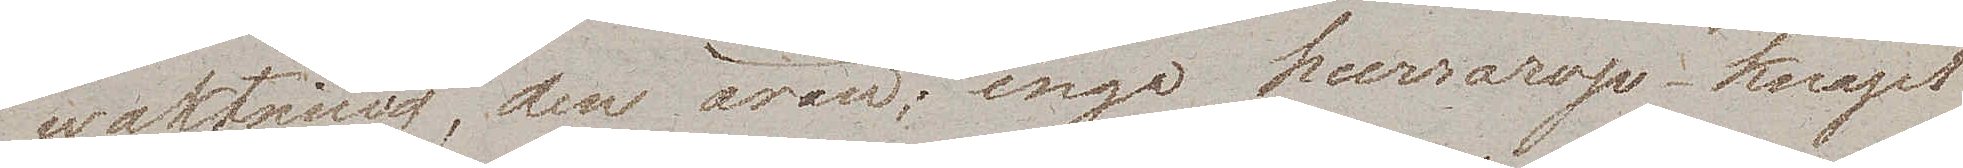waktning, den äran; inga hurrarop – knapt
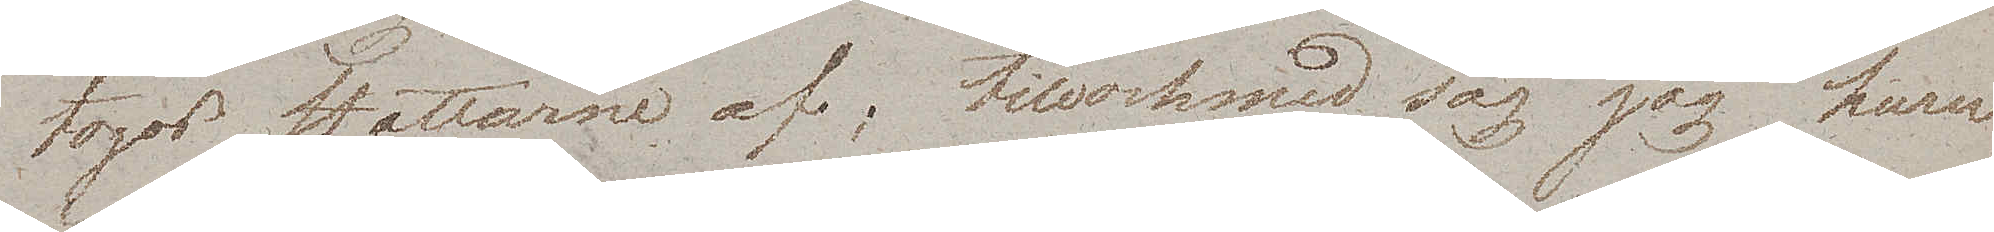togos Hattarne af; tillochmed såg jag huru
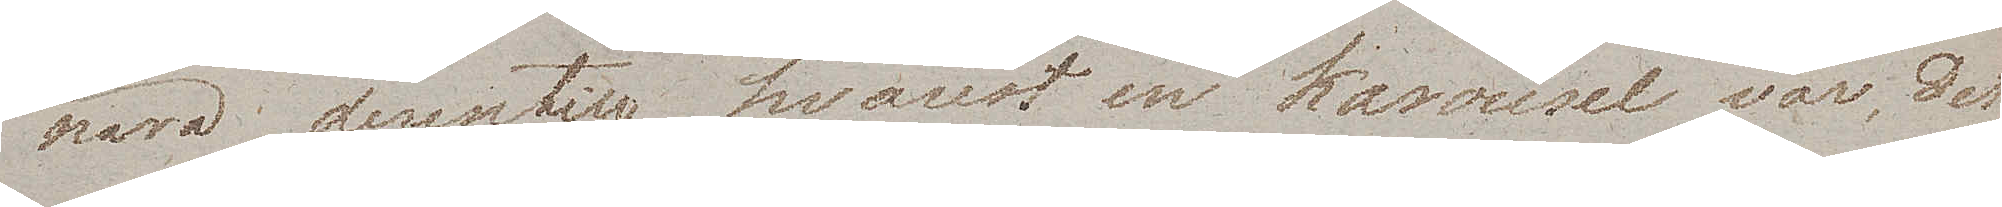nära derintil hvarest en karousel var, det
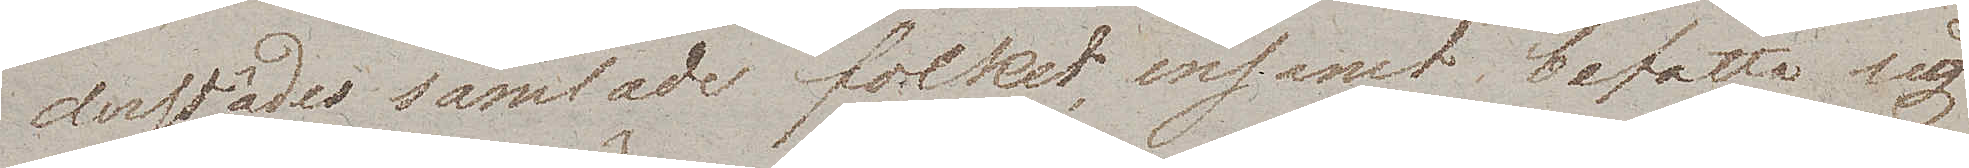derstädes samlade folket ensamt befatta sig
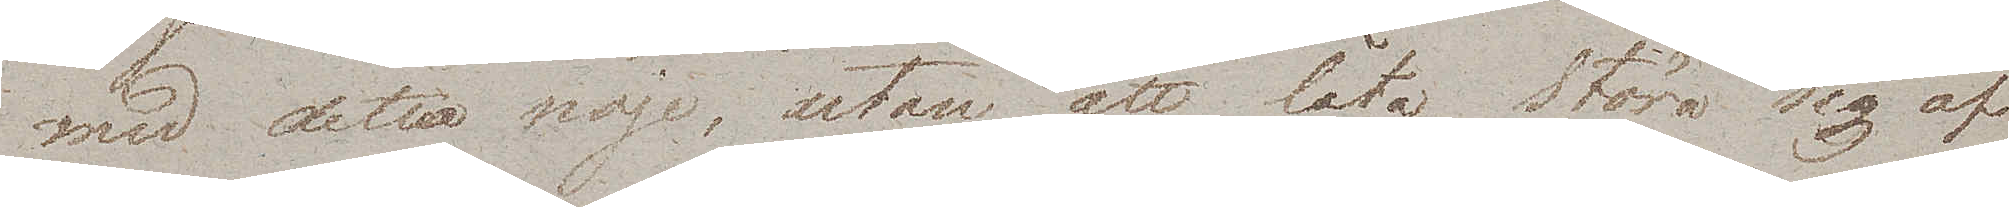med detta nöje, utan att låta störa sig af
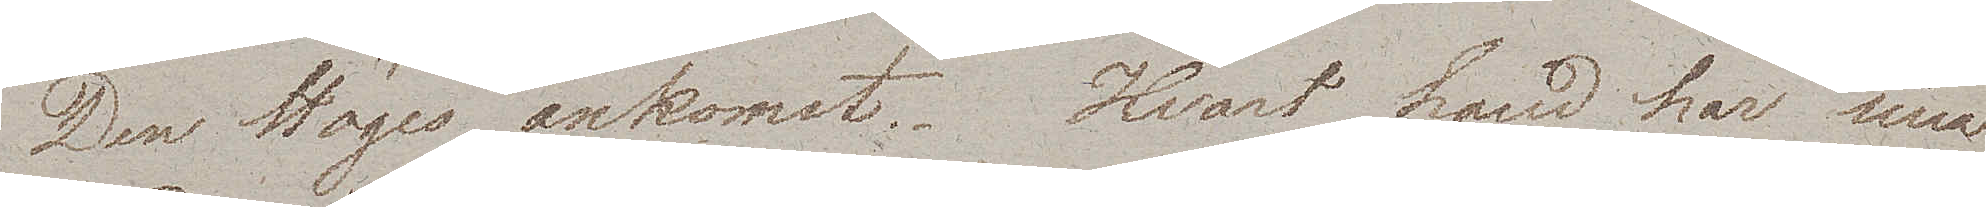Den Höges ankomst. Hvart Land har sina
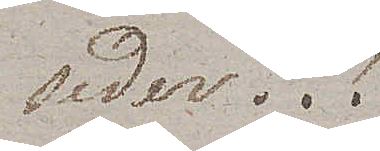seder!!!
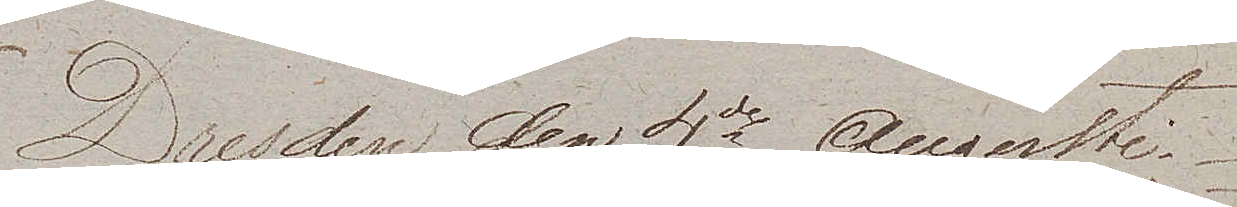Dresden den 4de Augusti
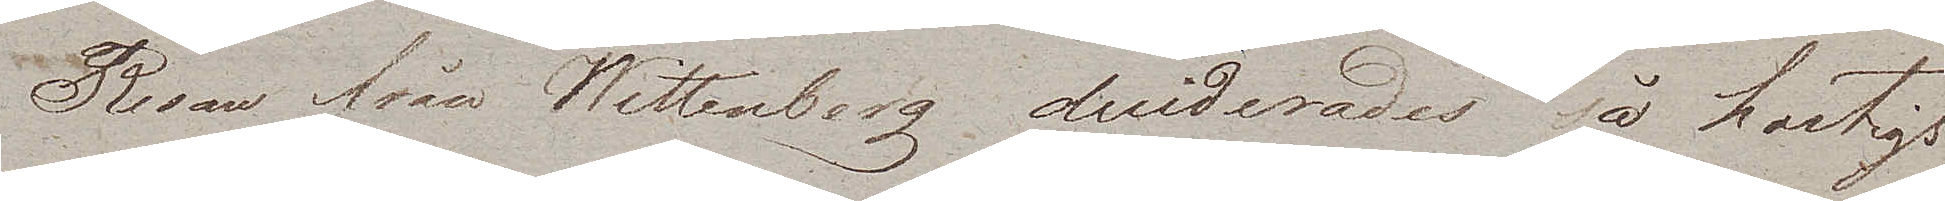Resan från Wittenberg deciderades så hastigt
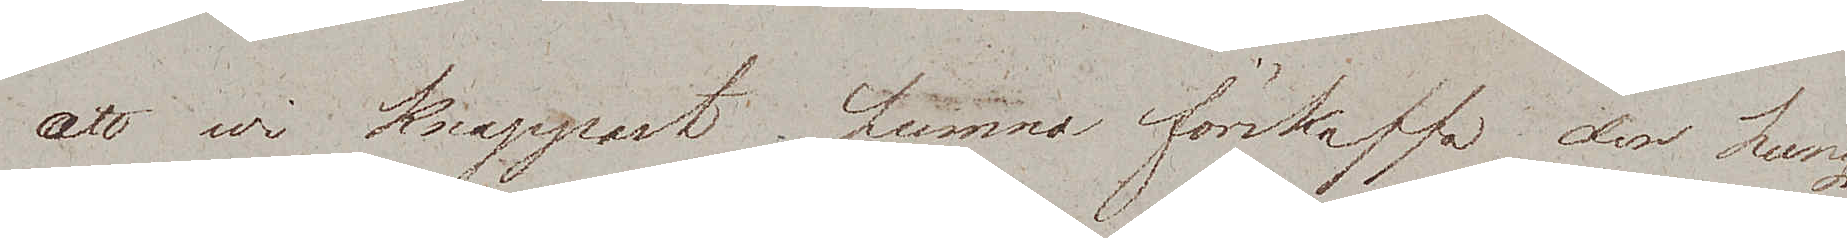att wi knappast hunno förskaffa den hung¬
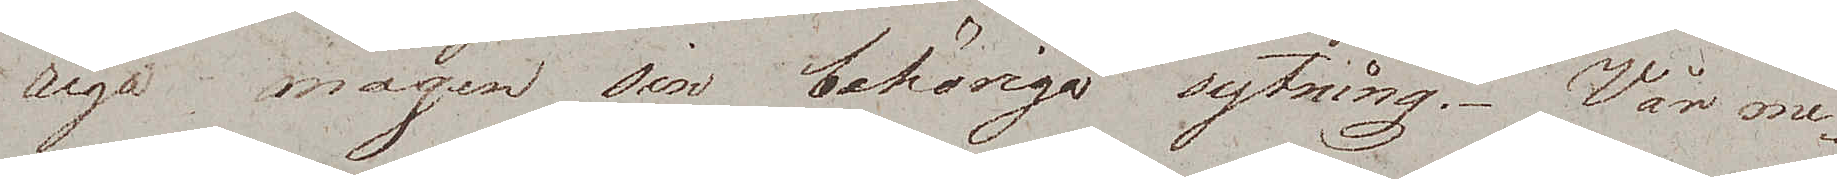riga magen sin behöriga sytning. Vår me¬
